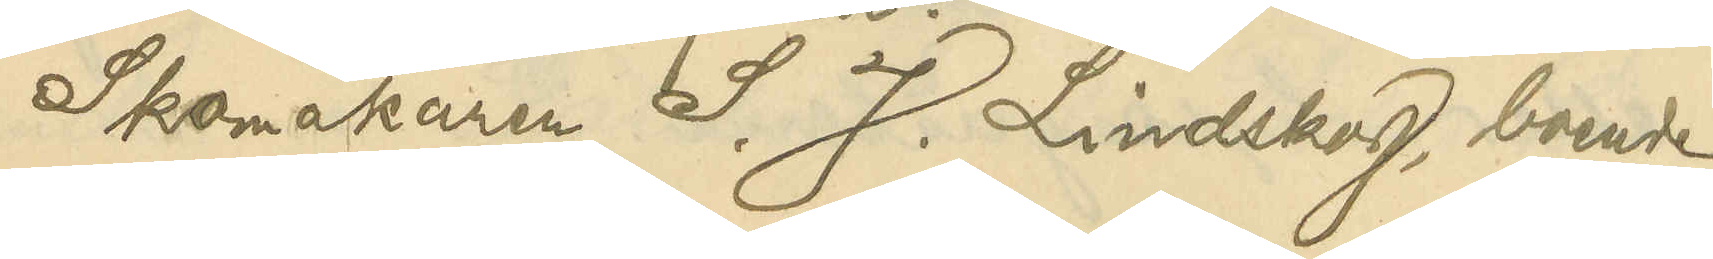Skomakaren S. J. Lindskog, boende
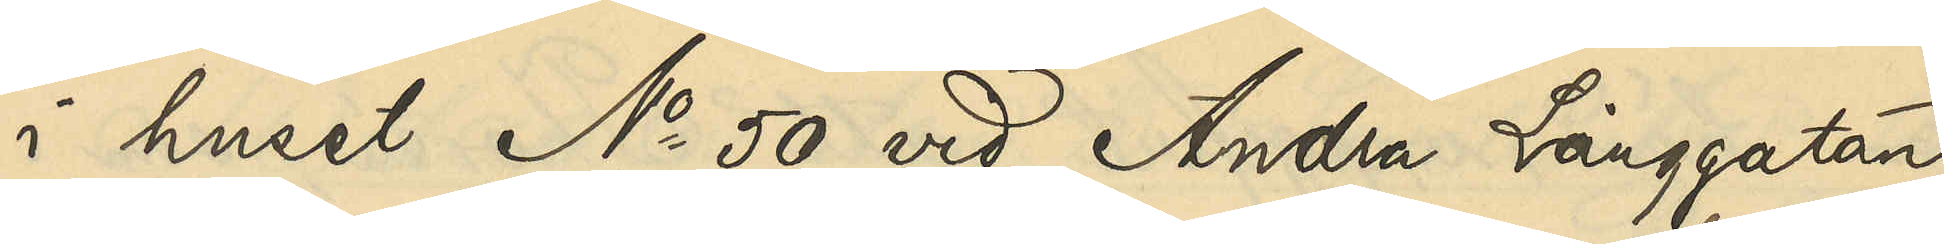i huset No 50 vid Andra Långgatan,
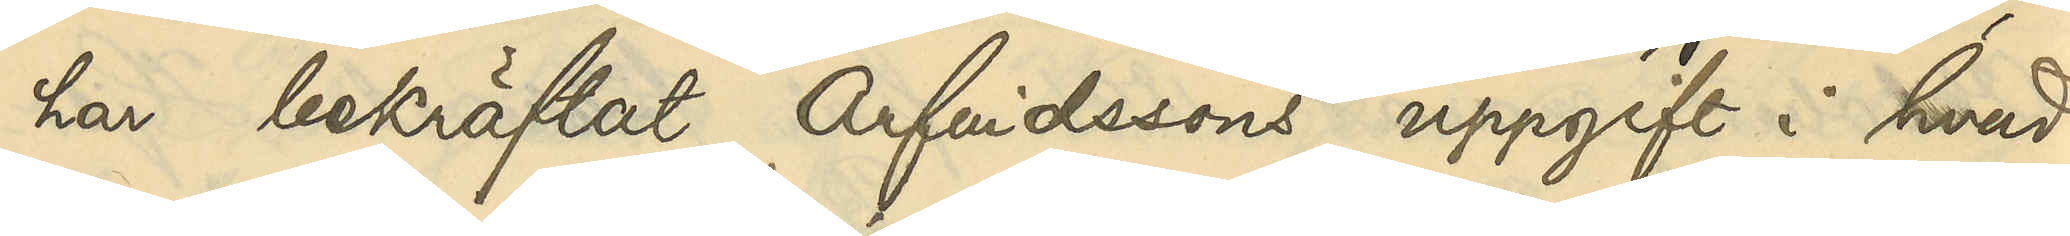har bekräftat Arfvidssons uppgift i hvad
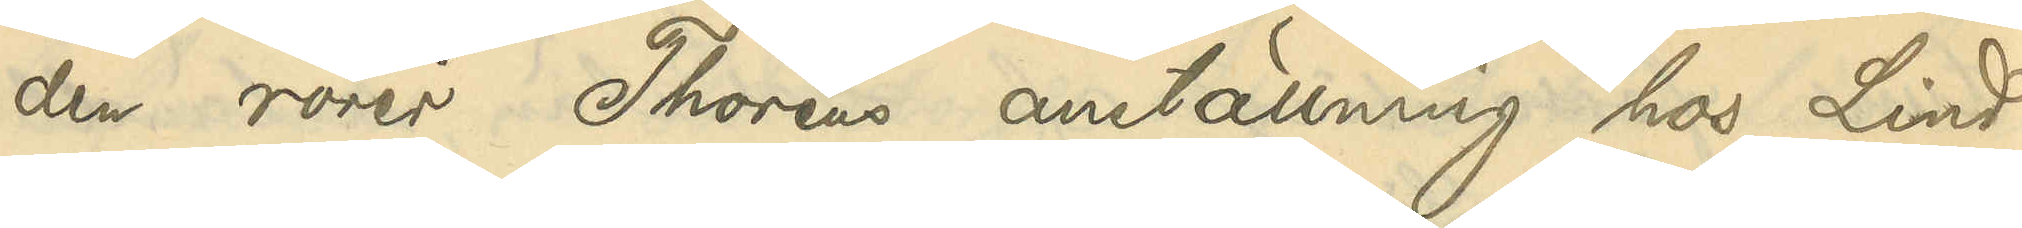den rörer Thoréns anställning hos Lind¬
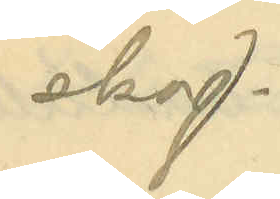skog.
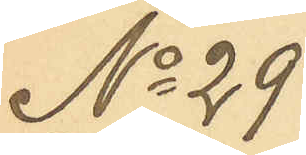No 29
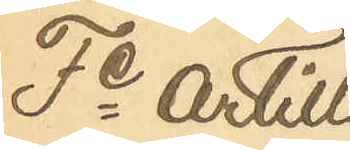Fe artille¬
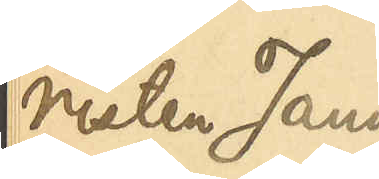risten Janne
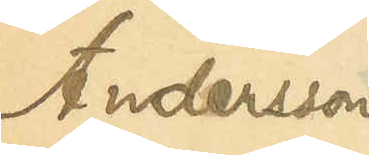Andersson
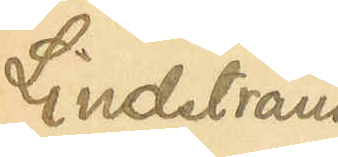Lindstrand
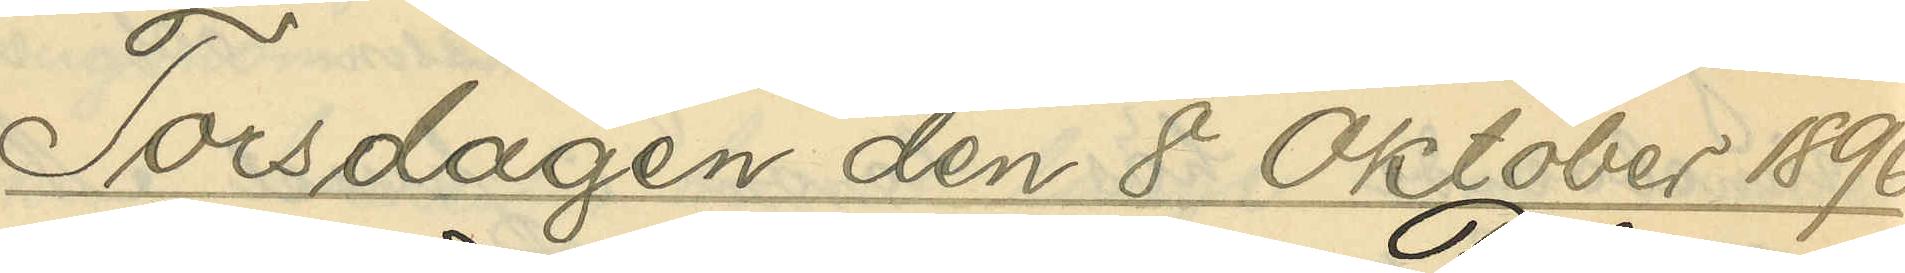Torsdagen den 8 Oktober 1896.
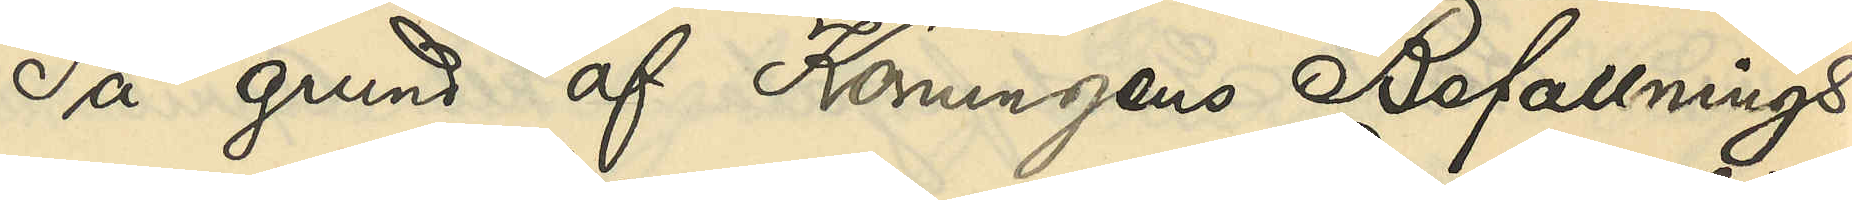På grund af Konungens Befallnings¬
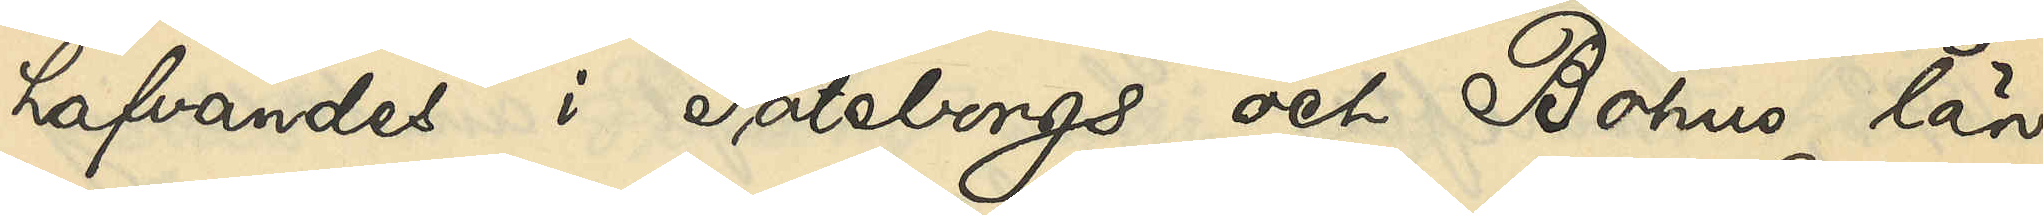hafvandes i Göteborgs och Bohus län
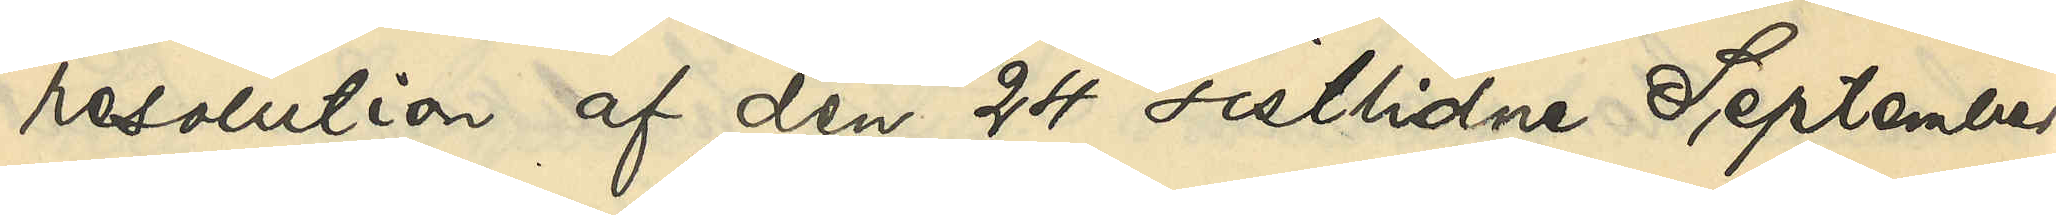resolution af den 24 sistlidne September,
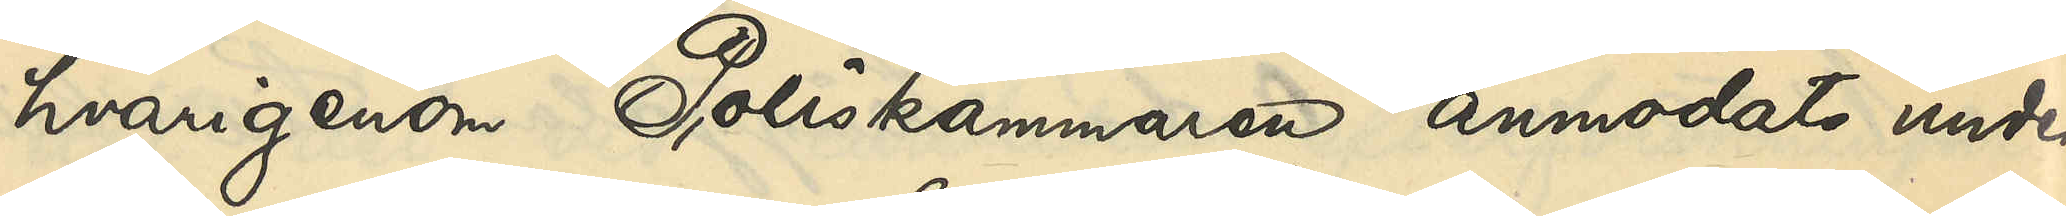hvarigenom Poliskammaren anmodats under¬
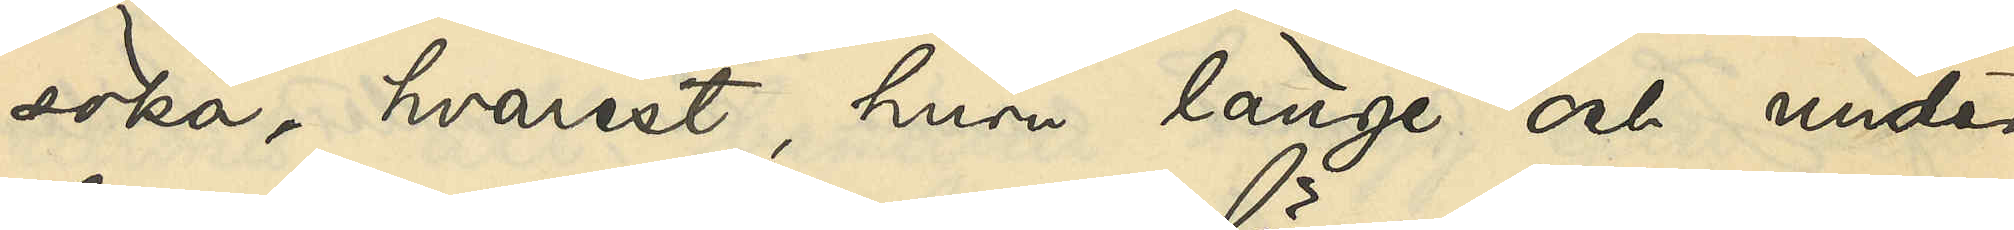söka, hvarest, huru länge och under
